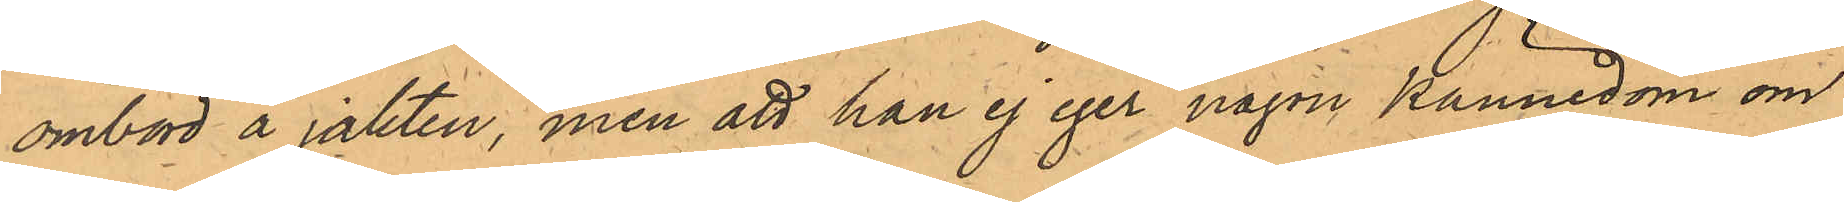ombord å jakten, men att han ej eger någon kännedom om
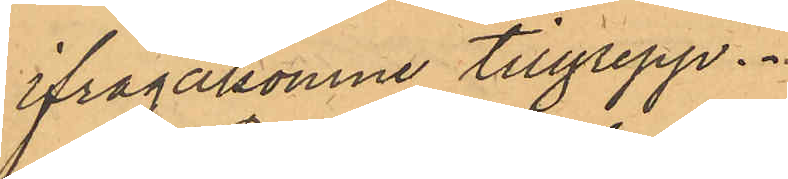ifrågakomne tillgrepp.
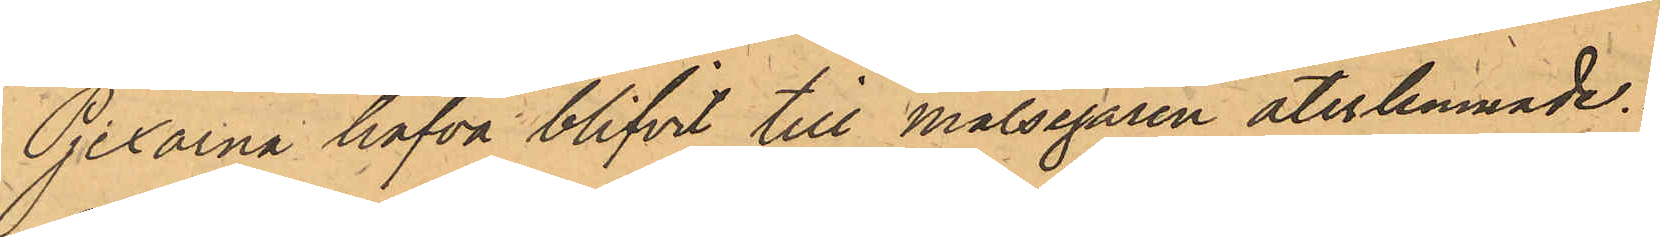Pjexorna hafva blifvit till Målsegaren återlemnade.
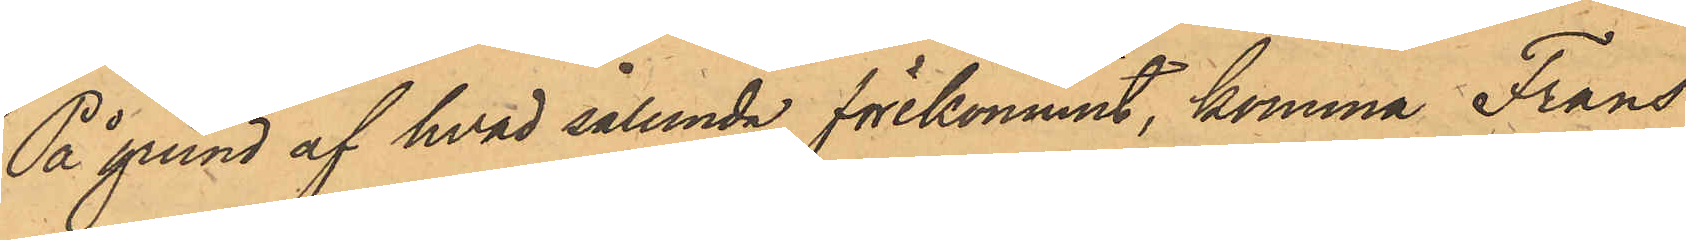På grund af hvad sålunda förekommit, komma Frans
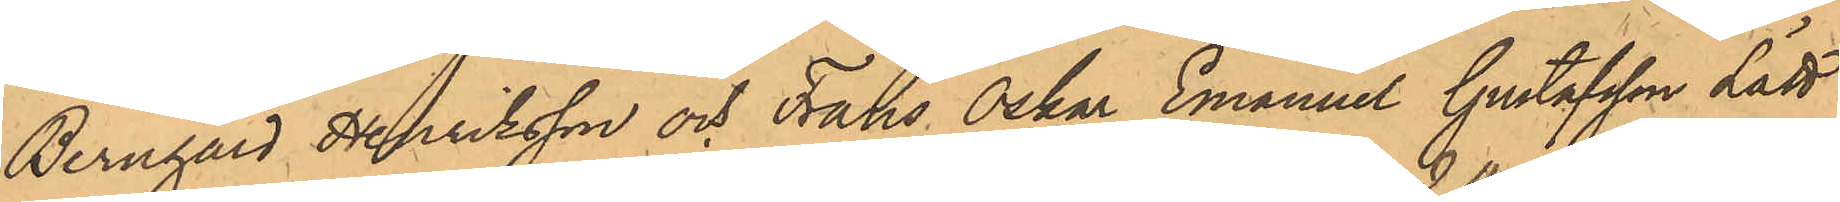Bernhard Henriksson och Frans Oskar Emanuel Gustafsson Lätt
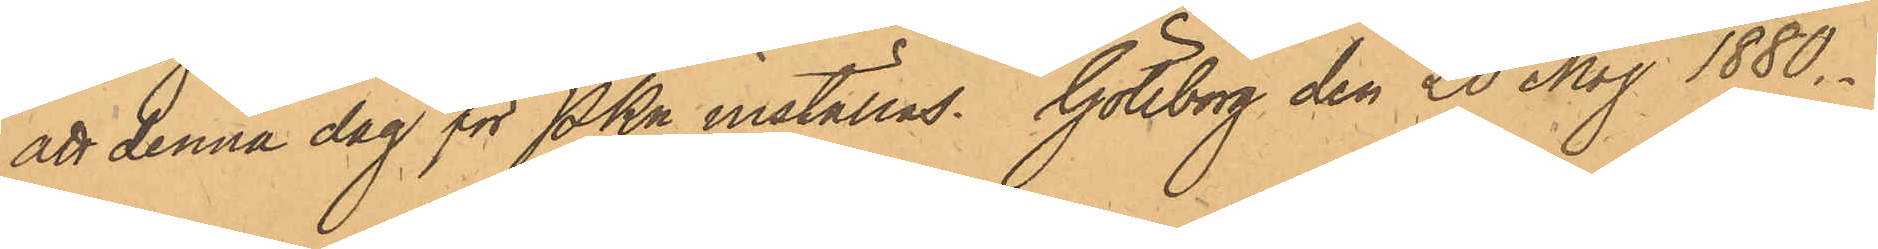att denna dag för PKn inställas. Göteborg den 20 Maj 1880.
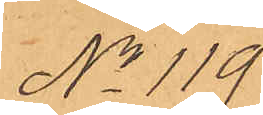No 119.
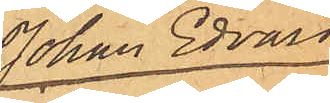Johan Edvard
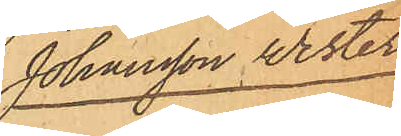Johansson Wester
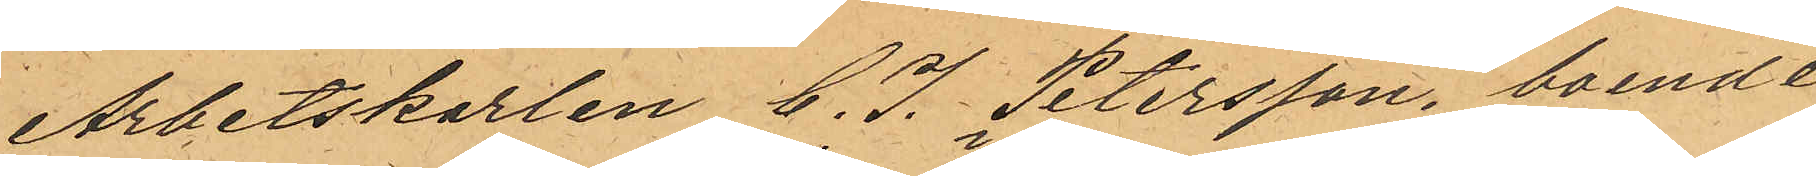Arbetskarlen C. J. Petersson, boende,
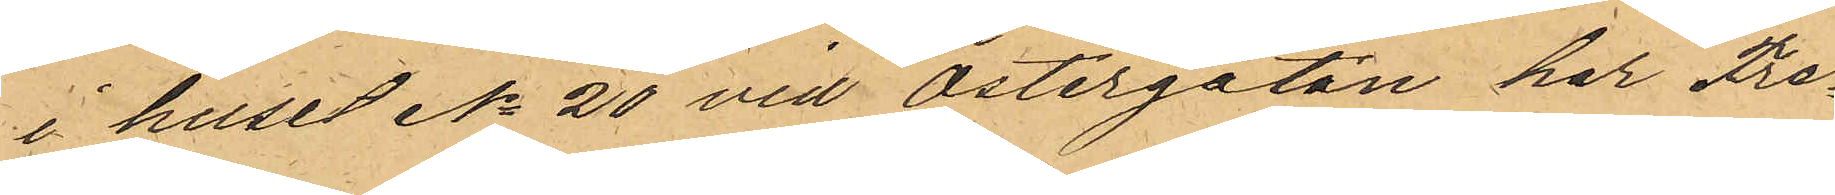i huset No 20 vid Östergatan har Fre¬
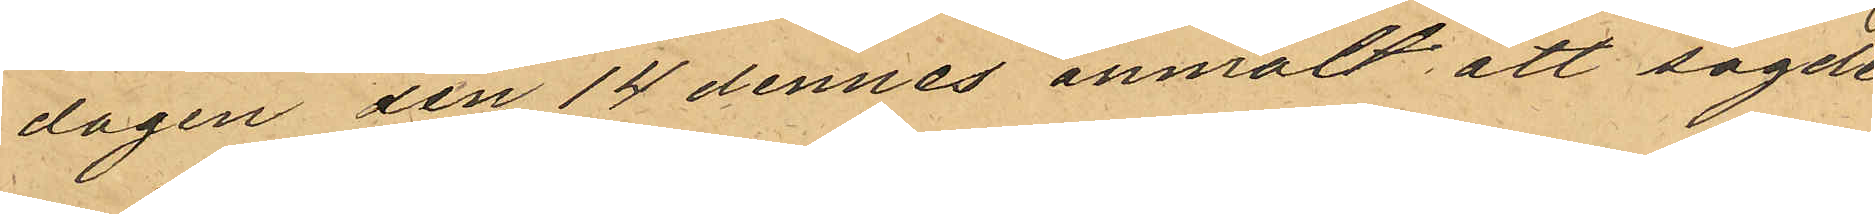dagen den 14 dennes anmält att sagde
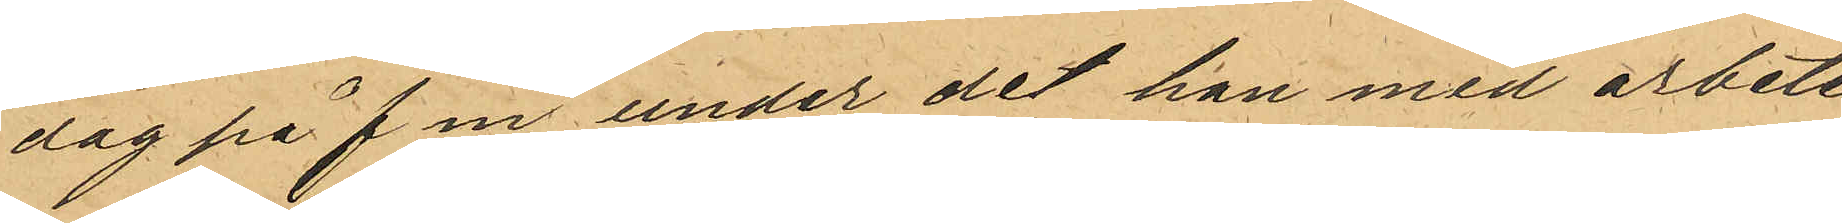dag på f m under det han med arbete
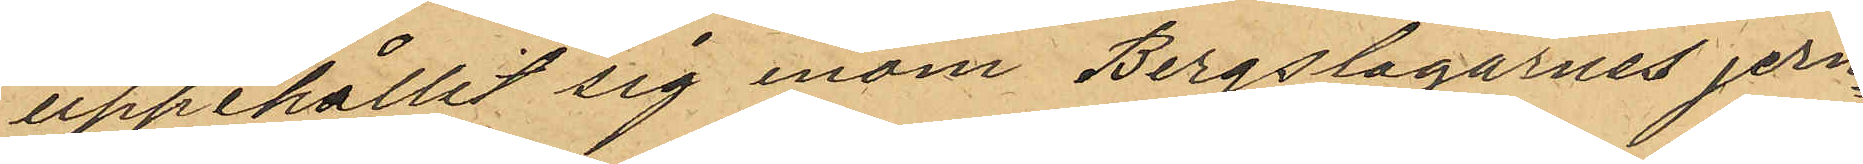uppehållit sig inom Bergslagarnes jern¬
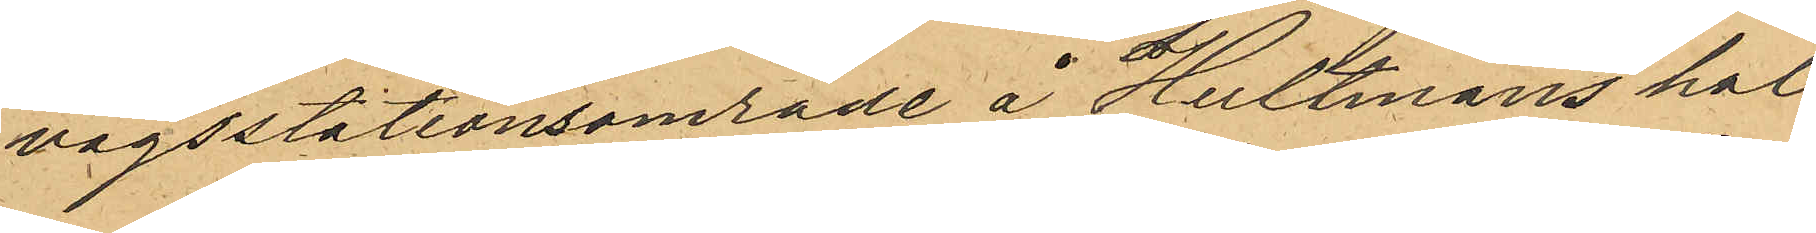vägsstationsområde å Hultmans hol¬
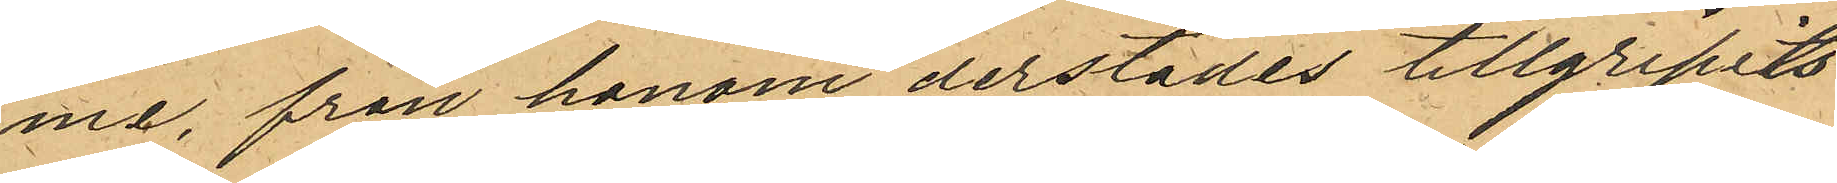me, från honom derstädes tillgripits
